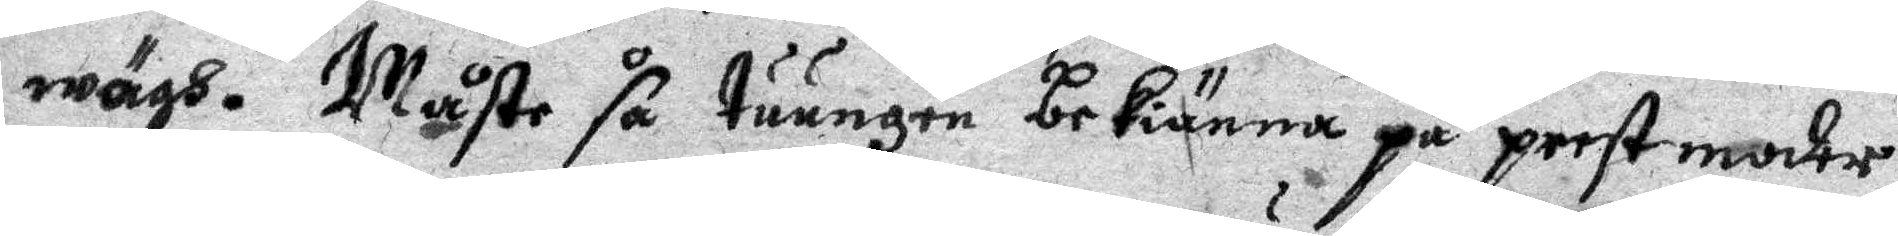wägh. Måste så tuungen bekiänna på prestmoder.
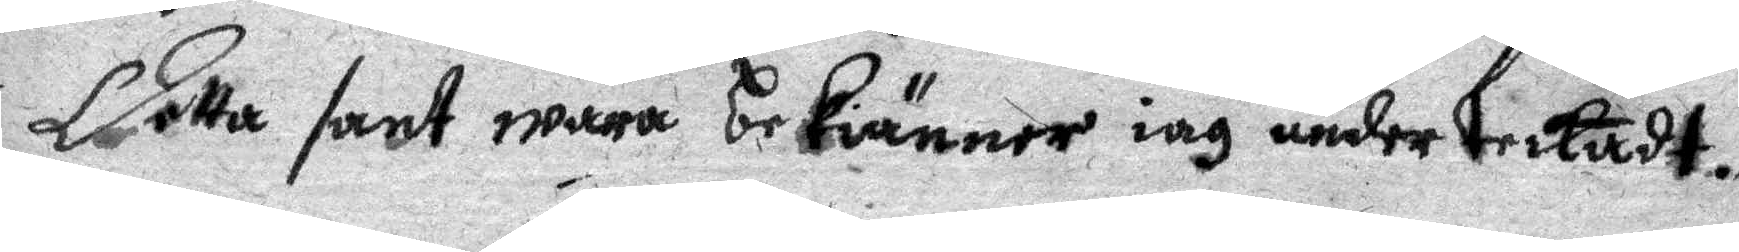Detta sant wara bekänner iag underteckadt.
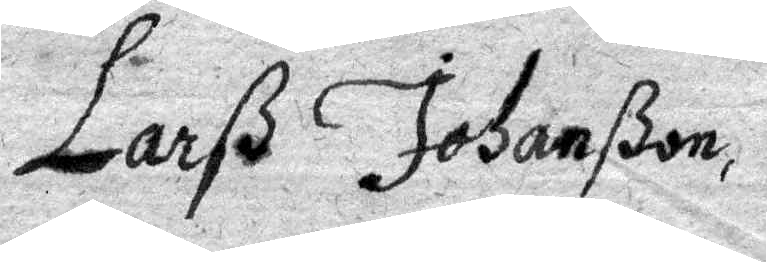Larß Johanßon.
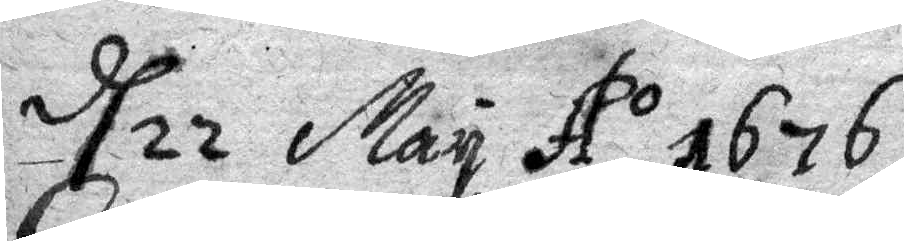d 22 May Ao 1676.
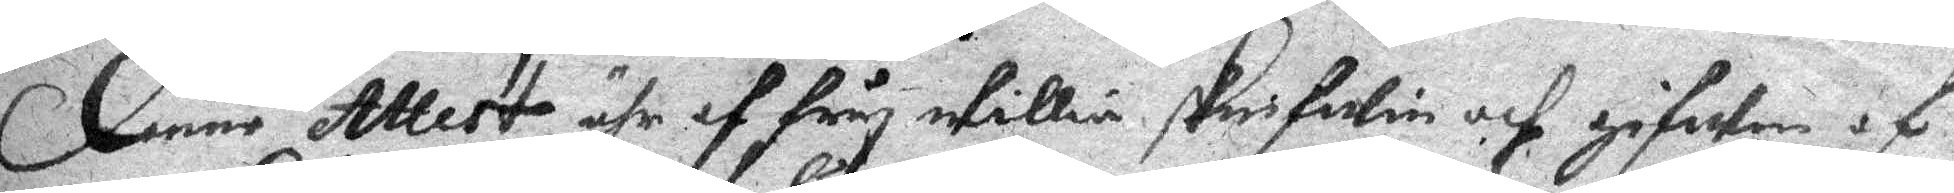Denne Attest ähr af fry willia skrifwin och gifwen af
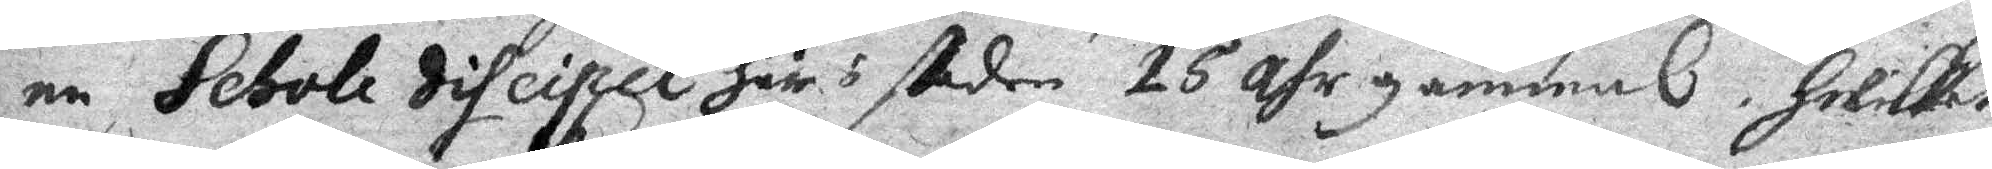en Sebole discipel Här i staden 15 ahr gammal, Hwilket
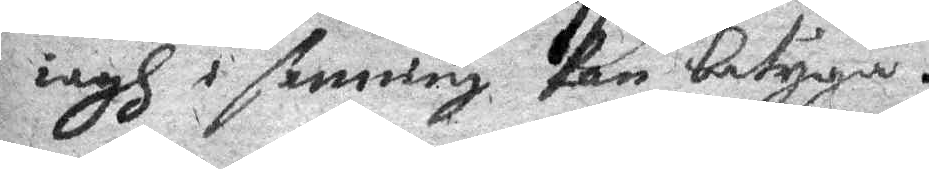iagh i sanning kan betyga.
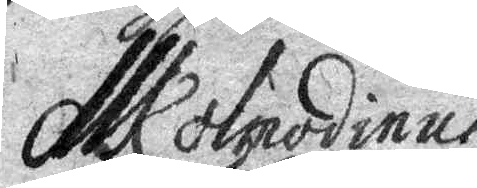Ml olpodinus
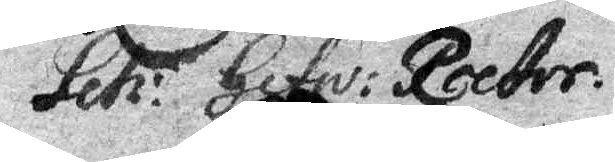Leh: Gefw: Rector.
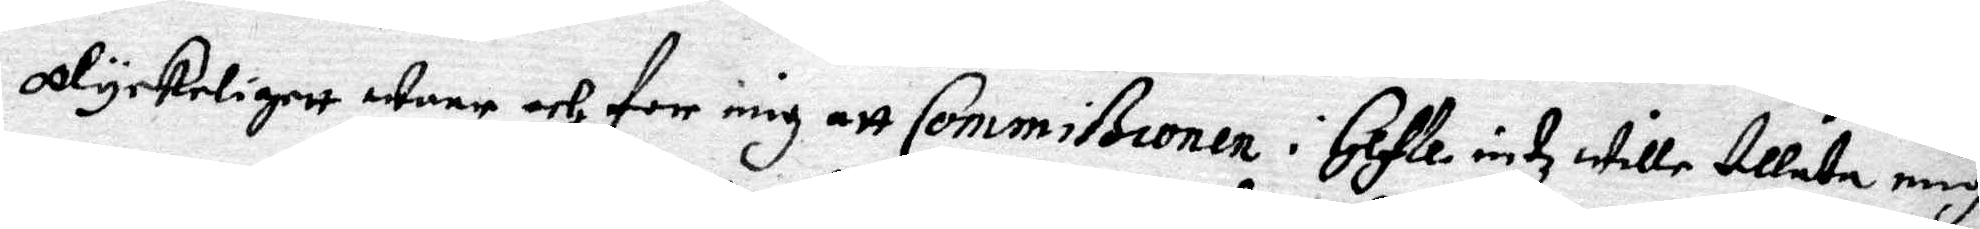olyckeligett ware och for mig att Commißionen i Gefle intz wille tillåta mig
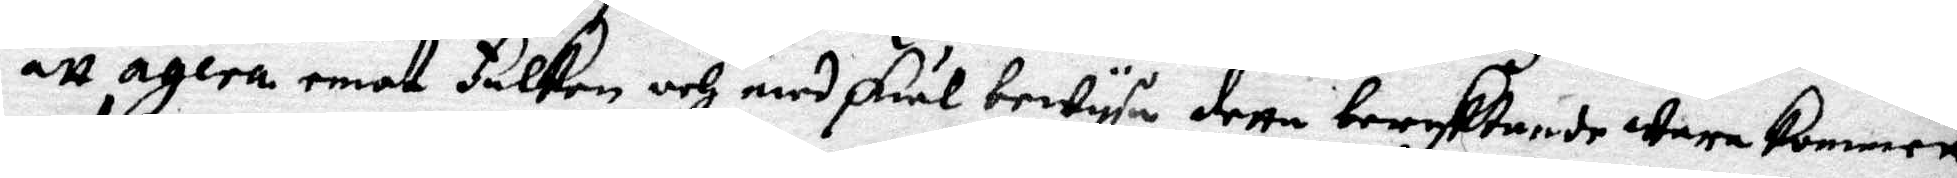att agera emot Falken och med skiäl bewysa detta beryktande wara kommett
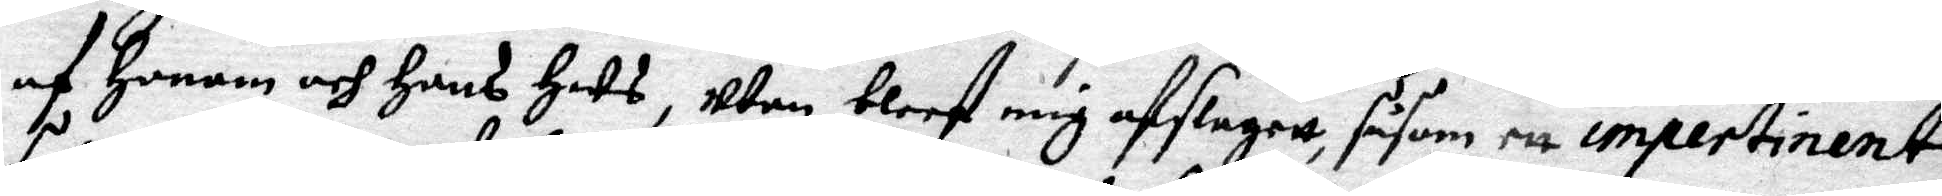af Honom och Hans Hus, utan bleef mig afslagett, såsom ett impertinent
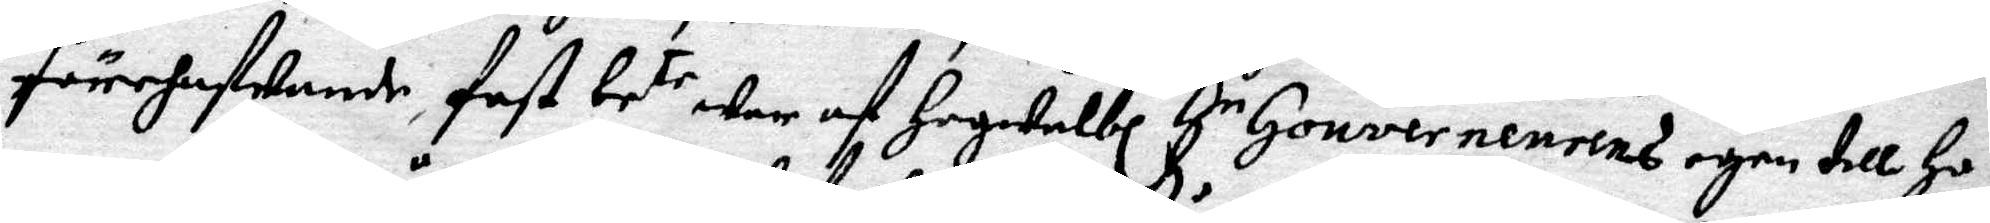förehafwande, fast be.te war af Hogwelbl Hr Gouvernerurens egen till Ho¬
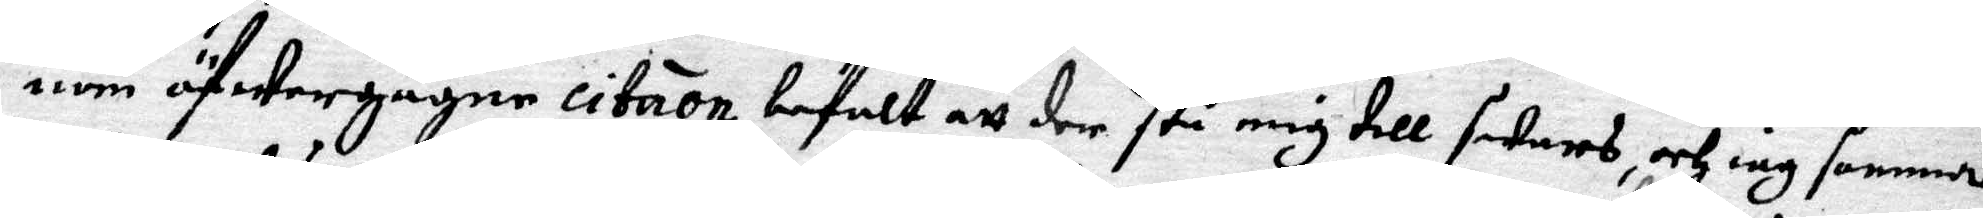nom öfwergågne citaon befalt att det stå mig till swars, och iag samma
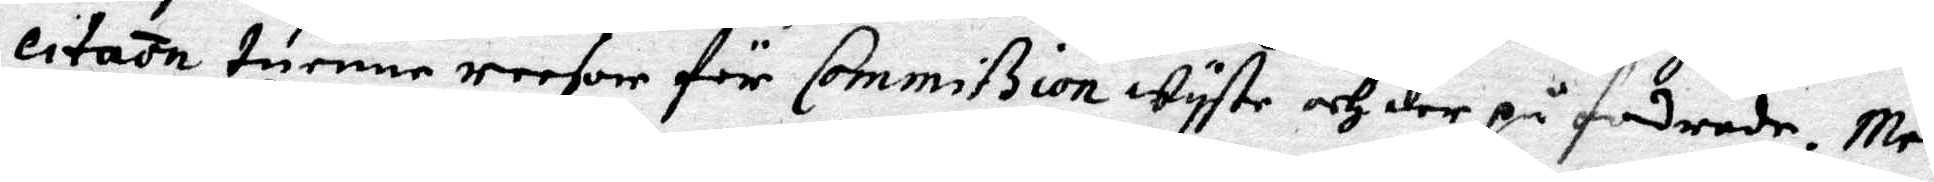citaon tuenne reesor för Commißion wyste och der på fordrade. men
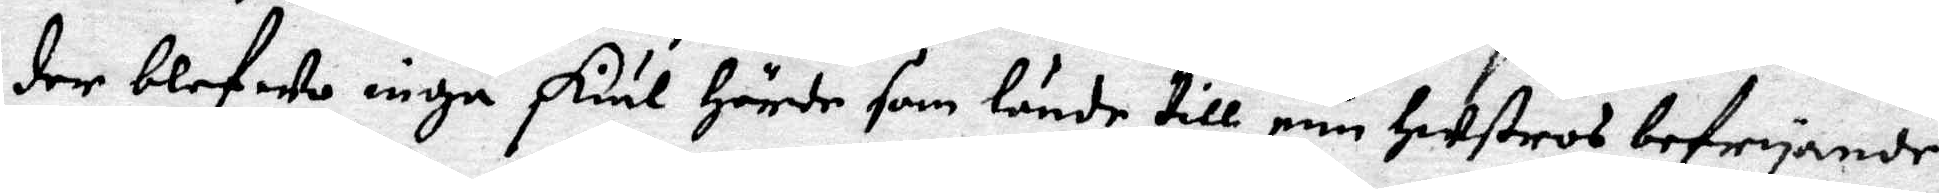der blefwo inga skiäl Hörde som lände till min Hustros befryande,
